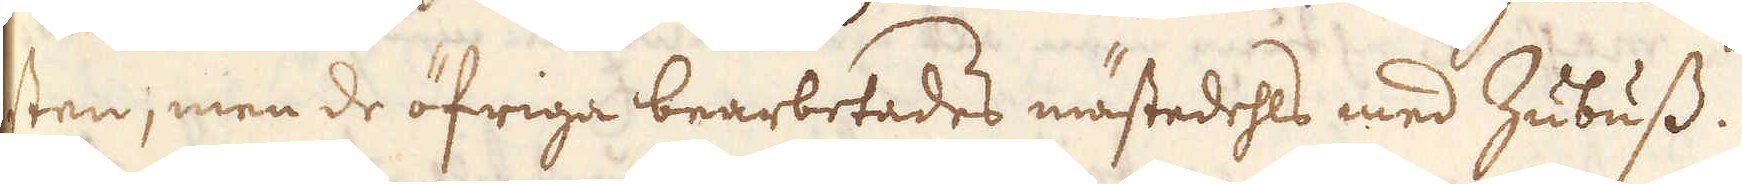sten, men de öfriga bearbetades mästedehls med Zubuss.
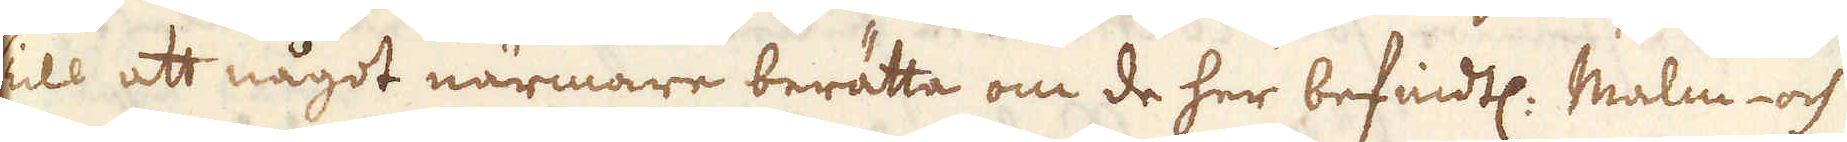Till att något närmare berätta om de her befindtl: Malm- och
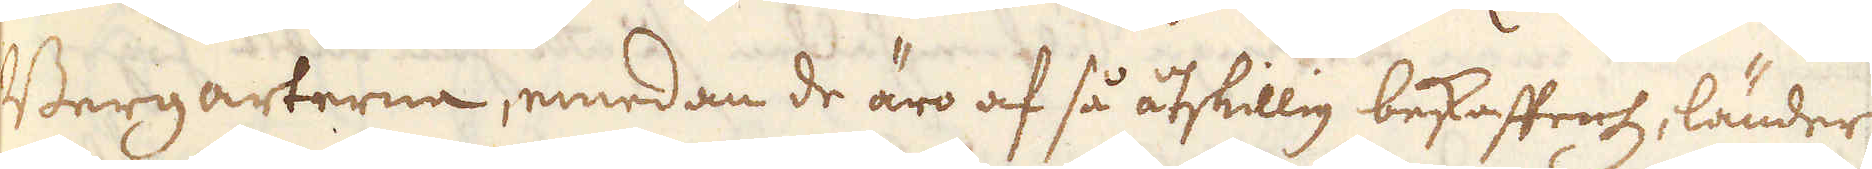Bergarterna, emedan de äro af så åtskillig bekaffenh, länder
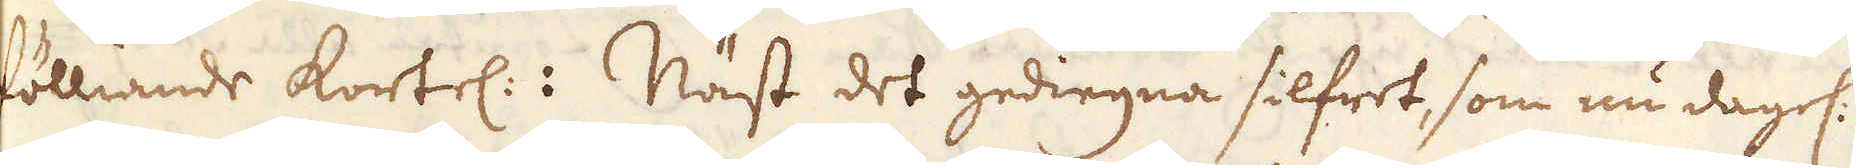fölliande kortel.: Näst det gediegna silfret, som nu dagel:
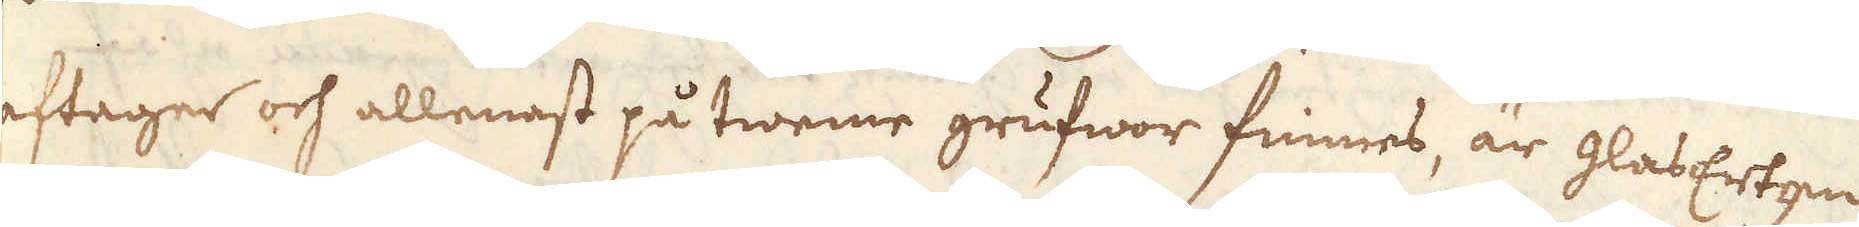aftager och allenast på tweme grufwor finnes, är glasErtzen
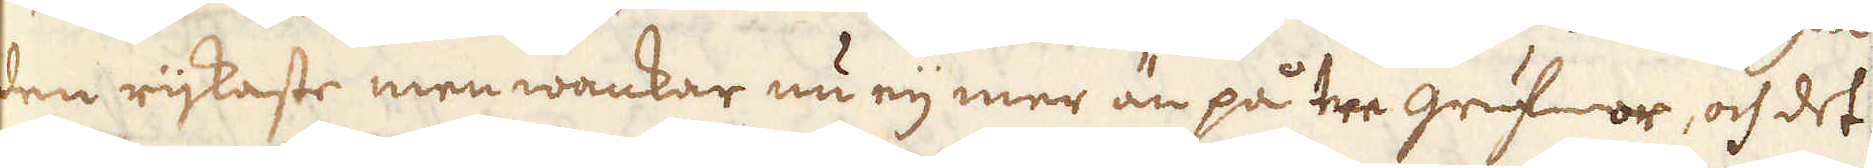den rijkaste men wankar nu eij mer än på tre grufwor, och det
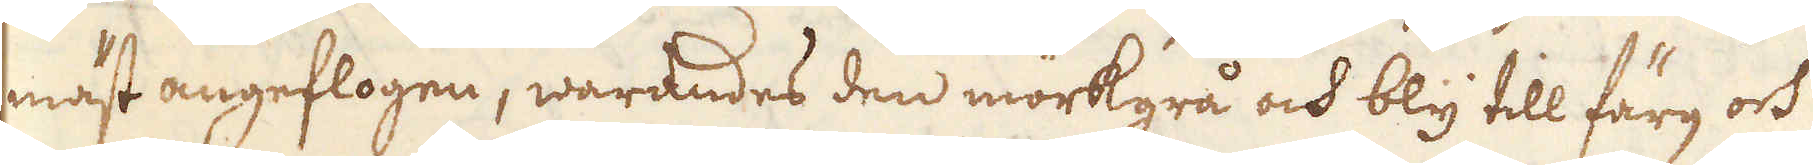mäst angeflogen, warandes den mörkgrå och bly till färg och
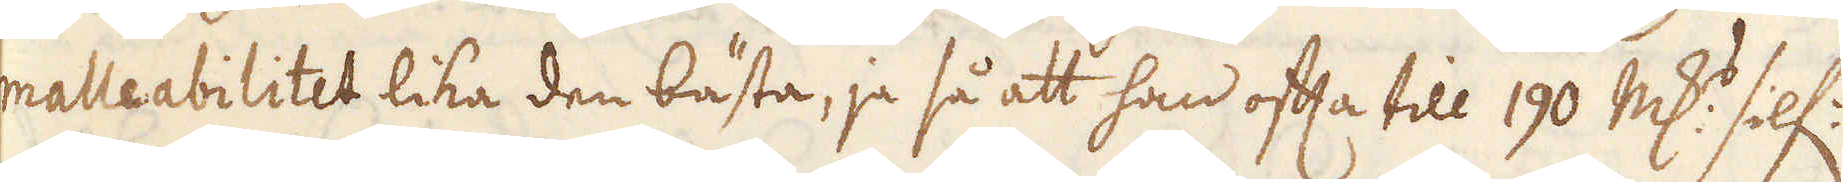malleabilitet lika den bästa, ja så att han ofta till 190 marker silf:
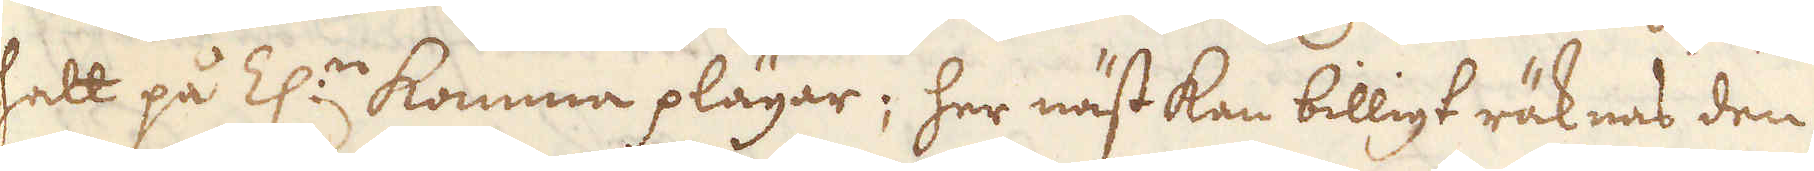halt på Z:n komma plägar; her näst kan billigt räknas den
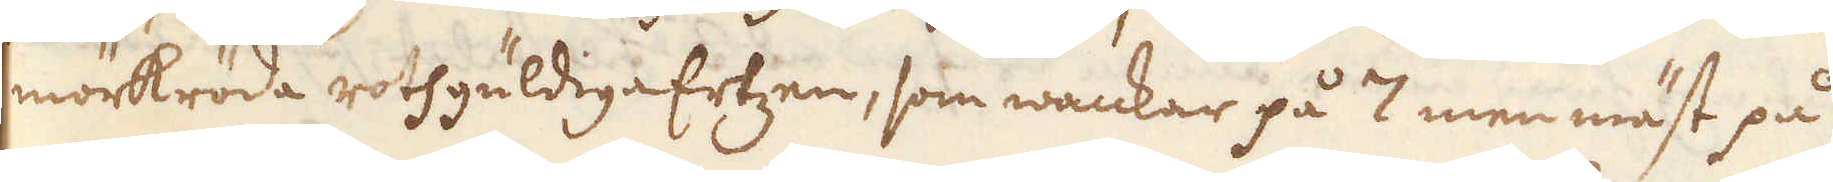mörkröda rothgüldiga Ertzen, som wankar på 7 men mäst på
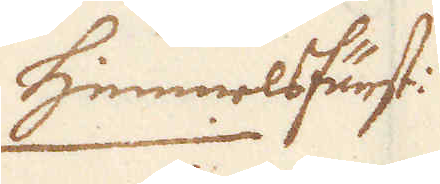himmelsfürst:
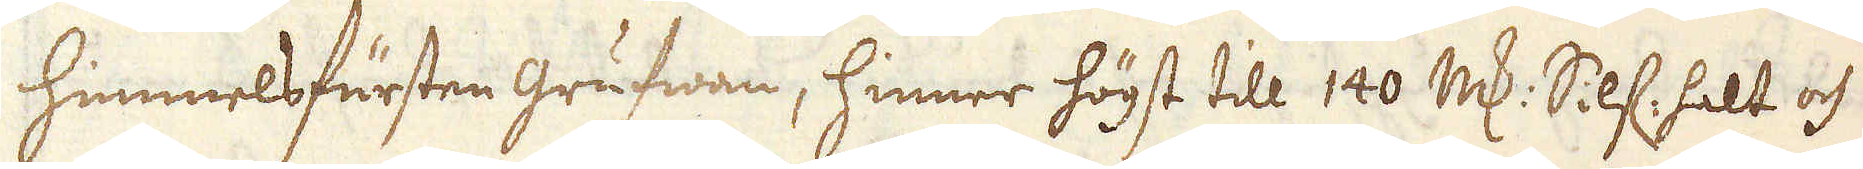himmelsfursten Grufwan, hinner högst till 140 marker Silf. halt och
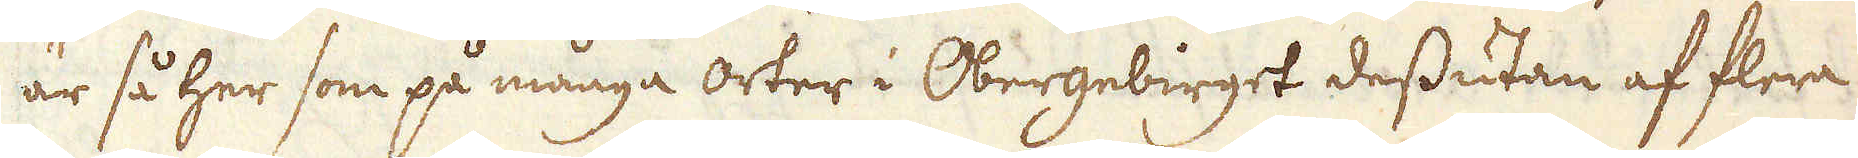är så her som på många orter i Obergebirget dessutan af flera
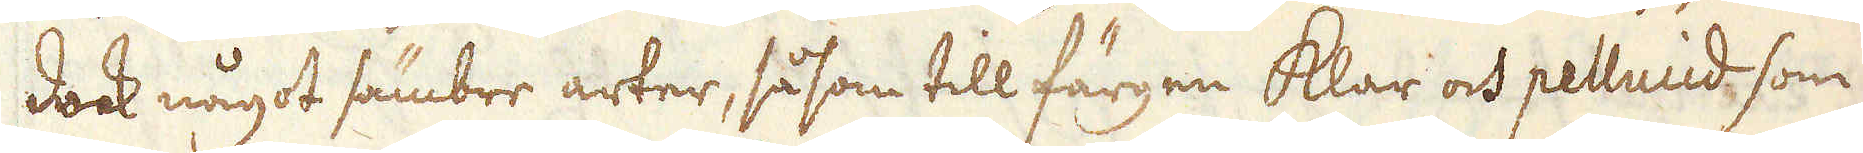dock något sämbre arter, såsom till färgen Klar och pellucid som
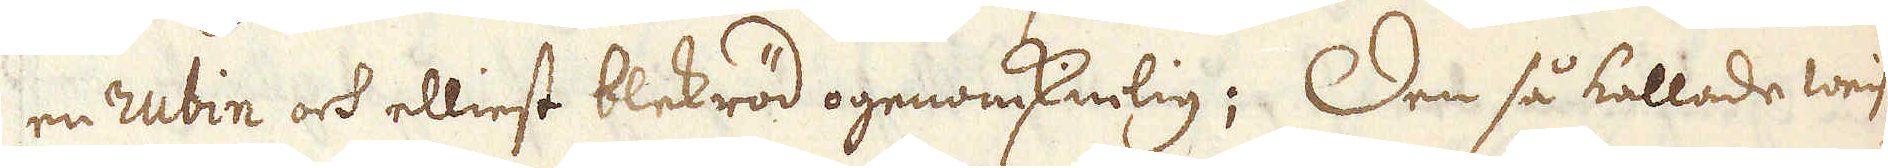en rubin och elliest blekröd ogenomsknlig; Den så kallade weist-
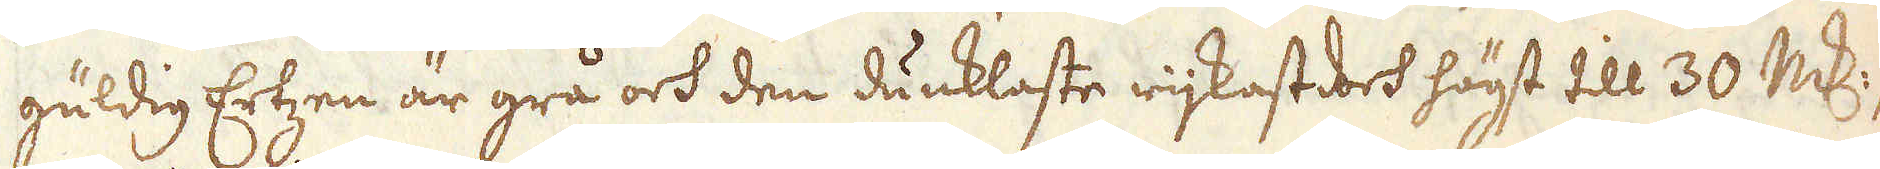guldig Ertzen är grå och den dunklaste rijkast doch högst till 30 marker,
